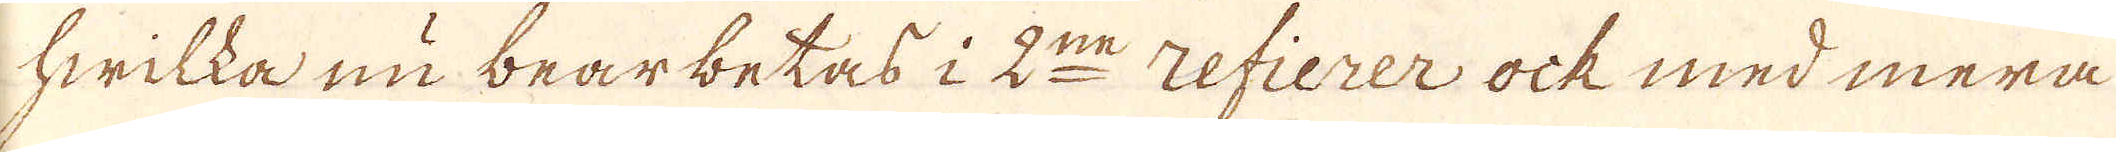hwilka nu bearbetas i 2:ne refierer ock med mera
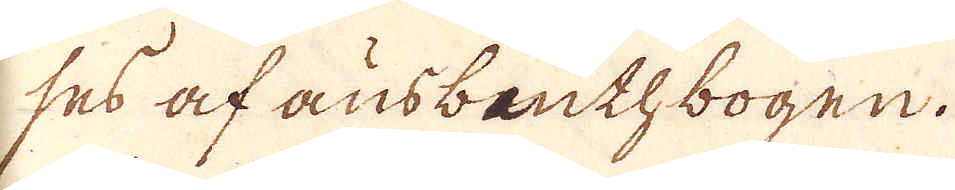ses af ausbeuthbogen.
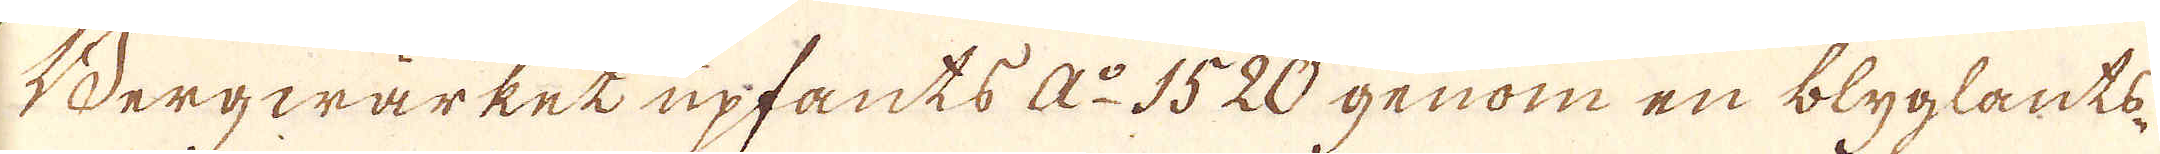Bergwärket upfants A:o 1520 genom en blyglants-
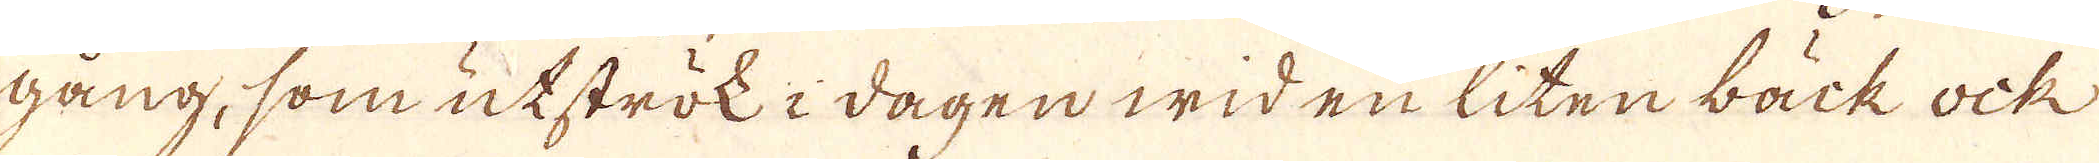gång, som utströk i dagen wid en liten bäck ock
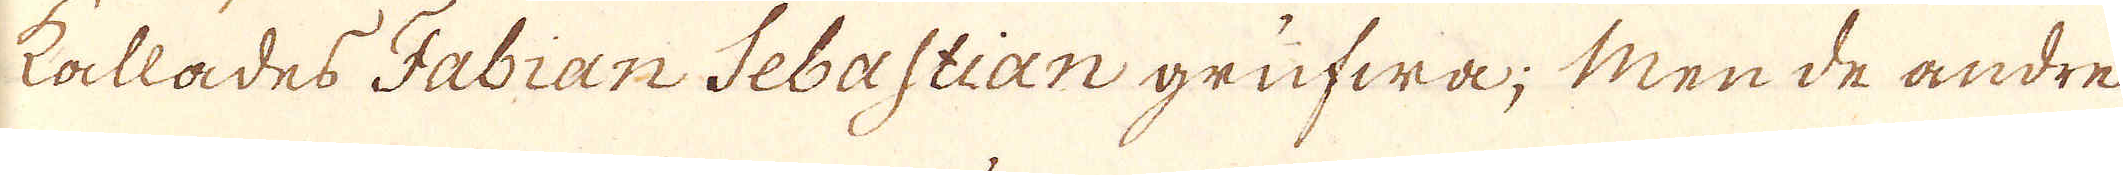kallades Fabian Sebastian grufwa; Men de andre
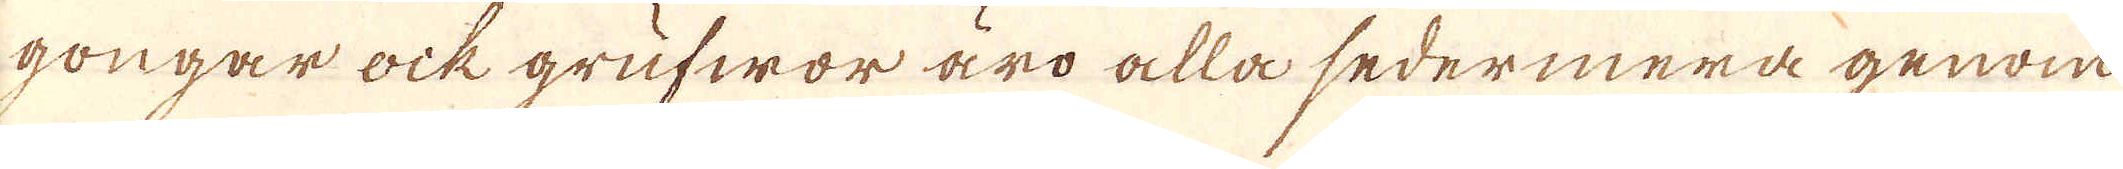gongar ock grufwor äro alla sedermera genom
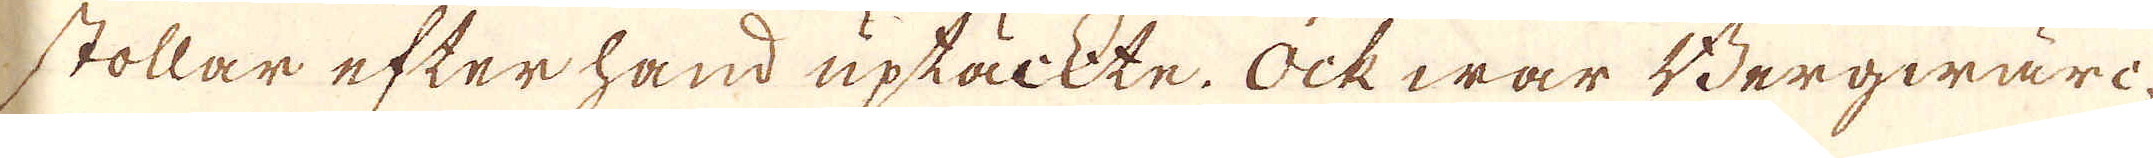stollar efter hand uptäckte. Ock war Bergwäri-
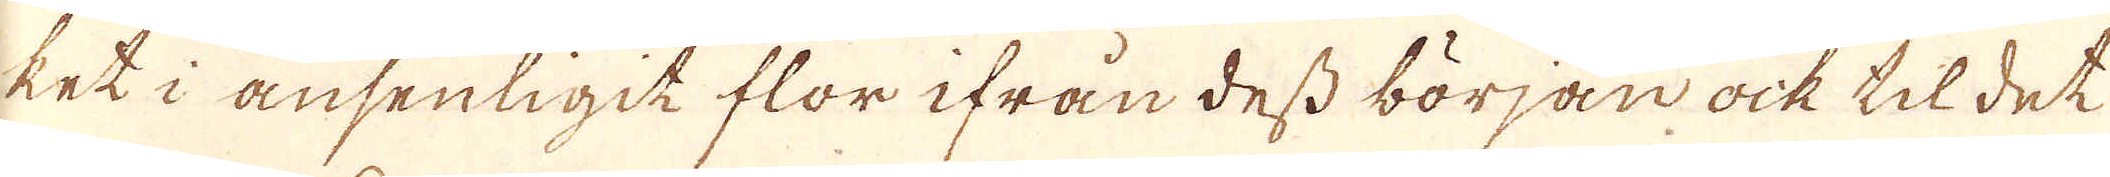ket i ansenligit flor ifrån dess början ock til det
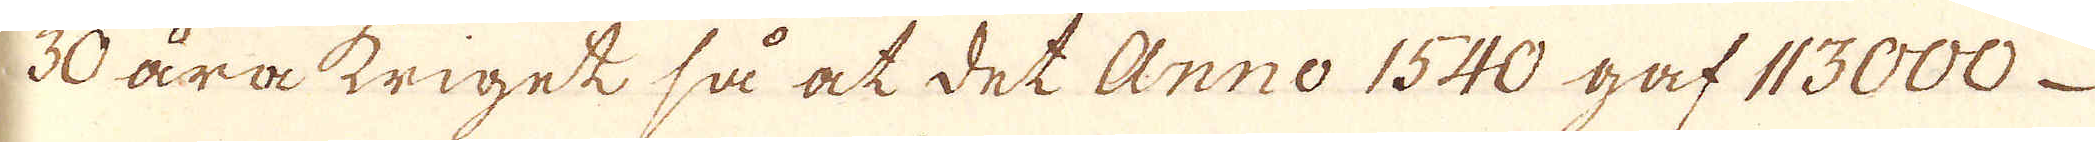30 åra kriget så at det Anno 1540 gaf 113000
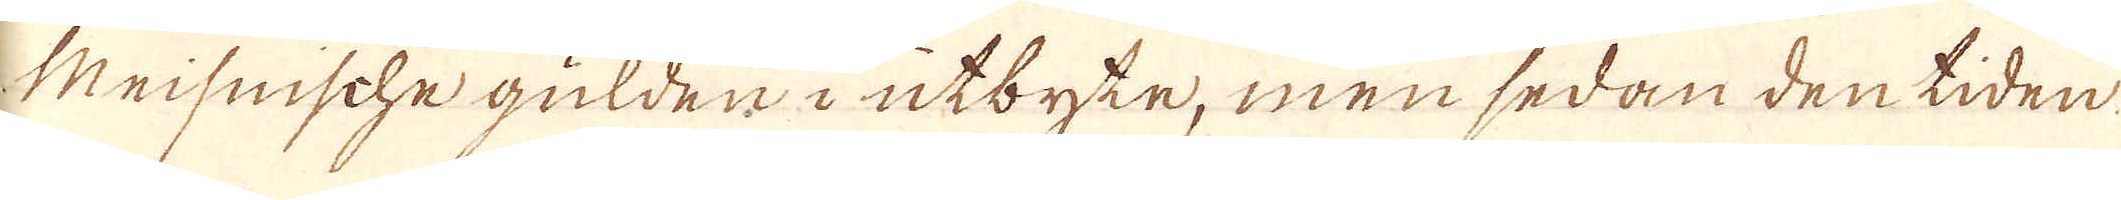Meisnische gulden i utbyte, men sedan den tiden
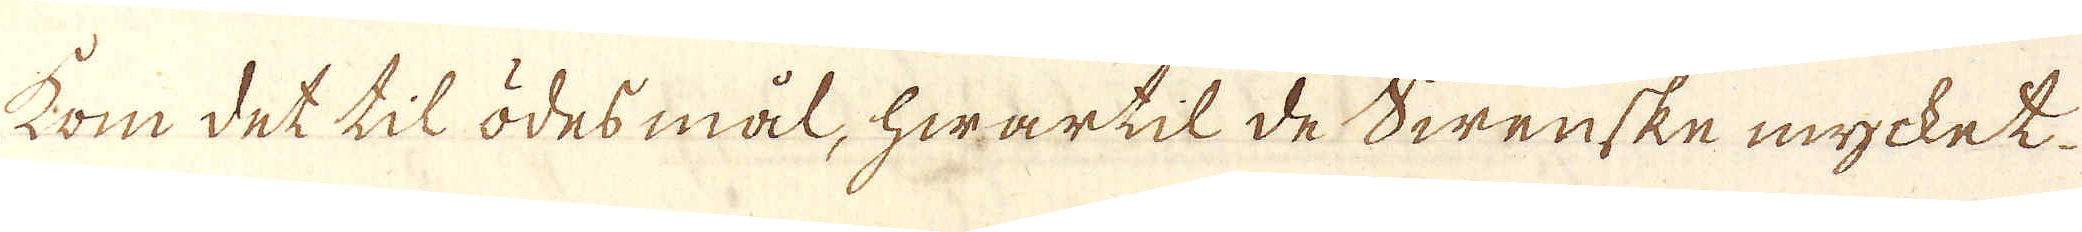kom det til ödesmål, hwartil de Swenske mycket
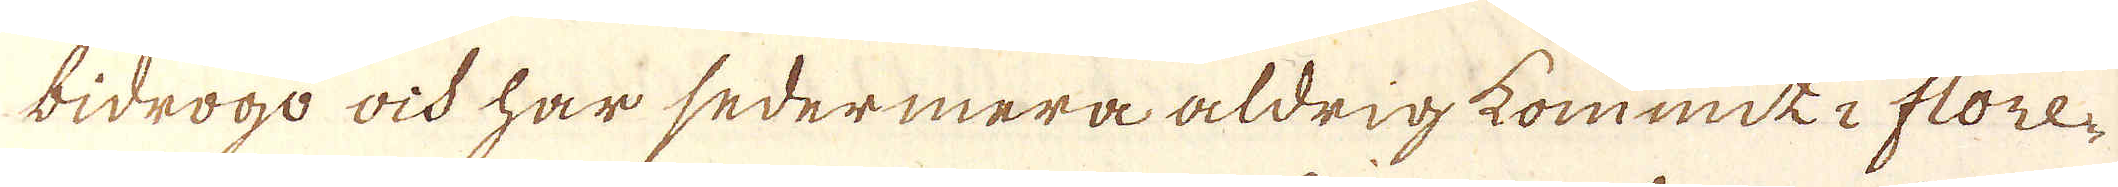bidrogo ock har sedermera aldrig kommit i flore-
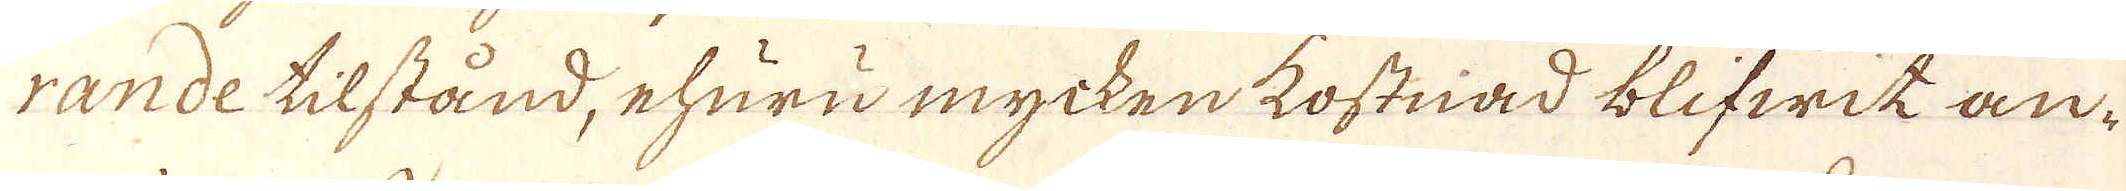rande tilstånd, ehuru mycken kostnad blifwit an-
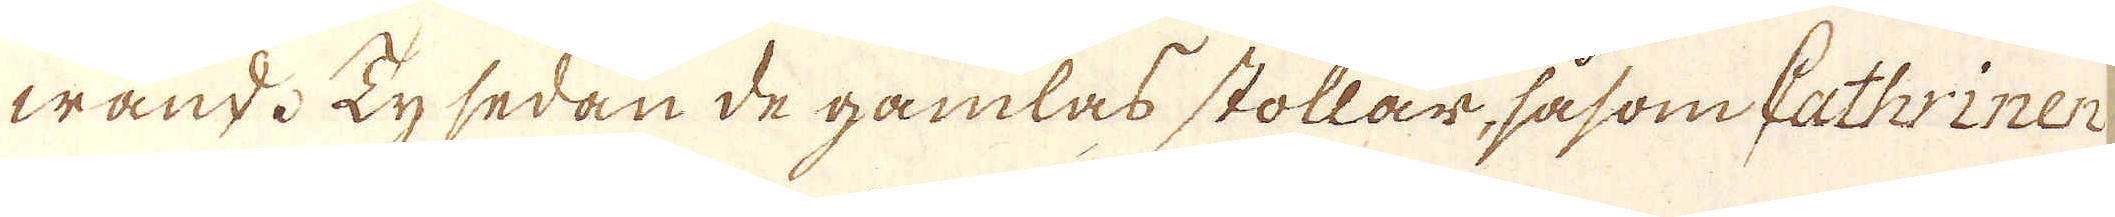wand. Ty sedan de gamlas stollar, såsom Kathriner
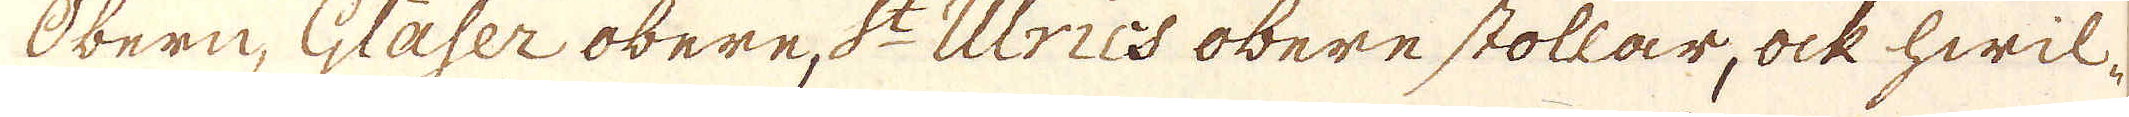Obern, Gläser obere, S:t Ulrics obere stollar, ock hwil-
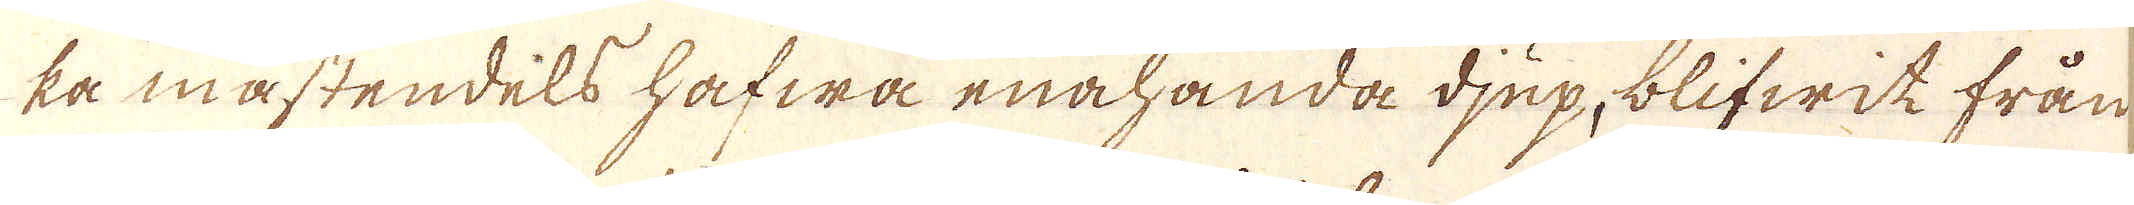ka mästendels hafwa enahanda djup, blifwit från
